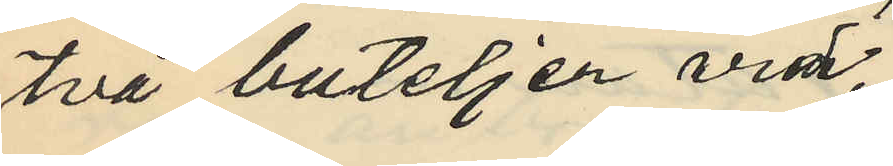två buteljer vid
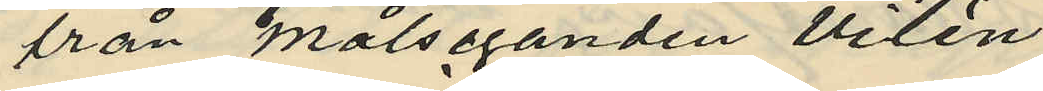från målseganden Vilén
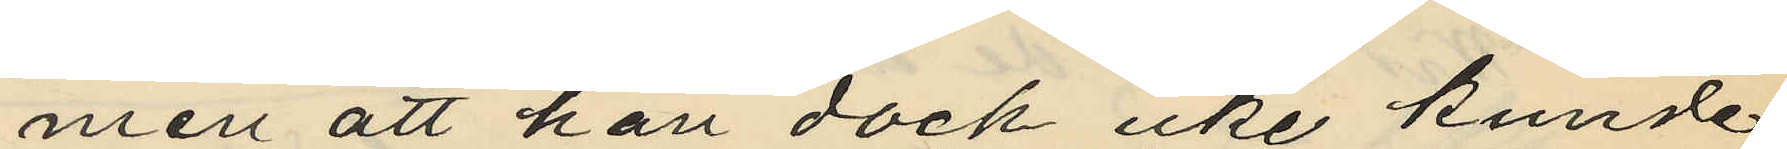men att han dock icke kunde
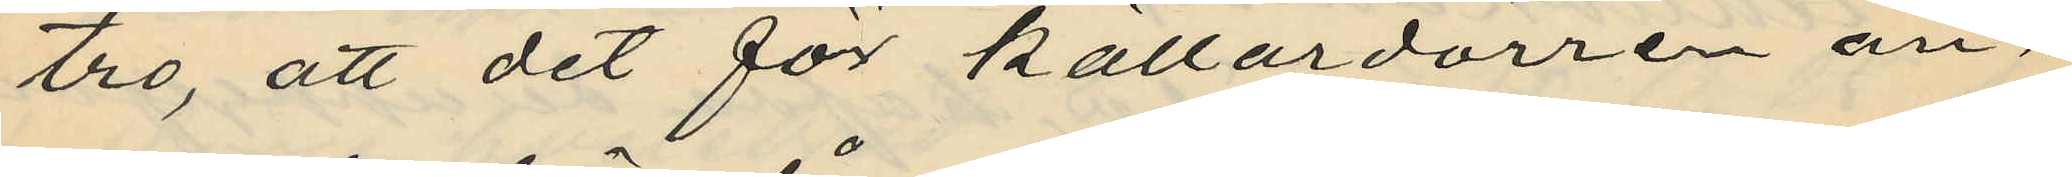tro, att det för källardörren an¬
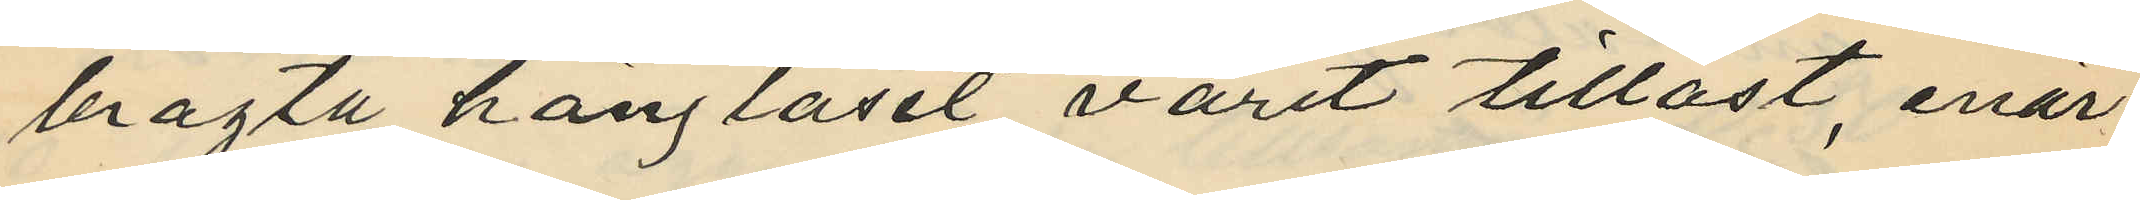bragta hänglåset varit tillåst, enär
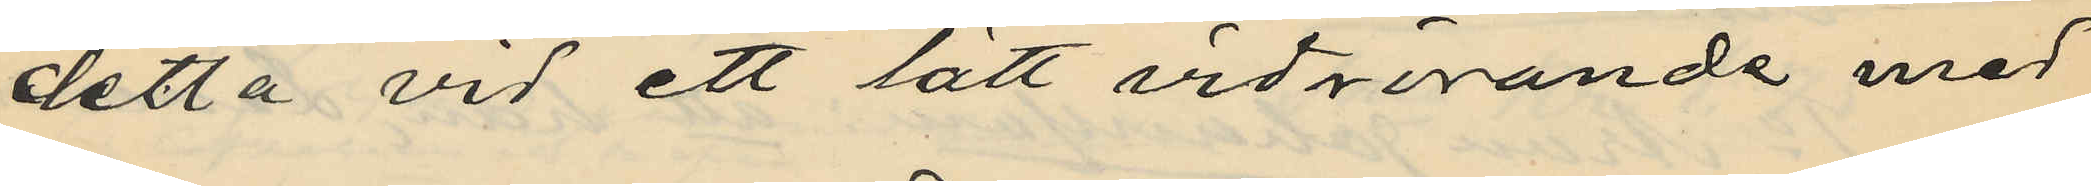detta vid ett lätt vidrörande med
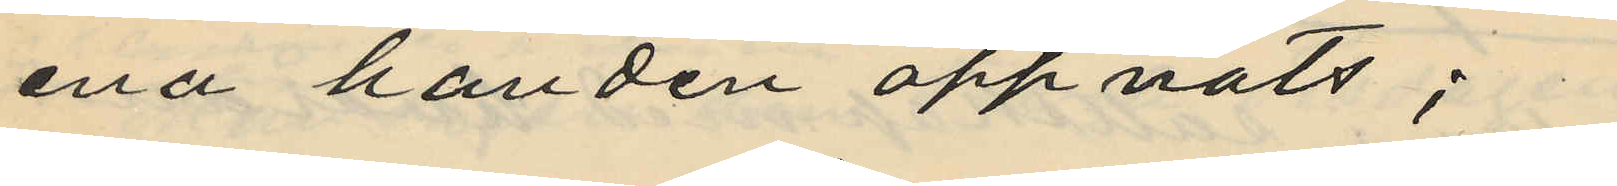ena handen öppnats;
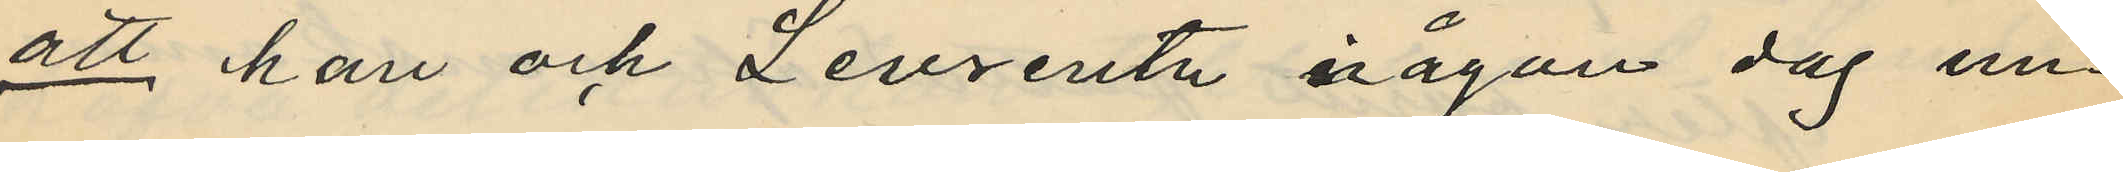att han och Levrentz någon dag un¬
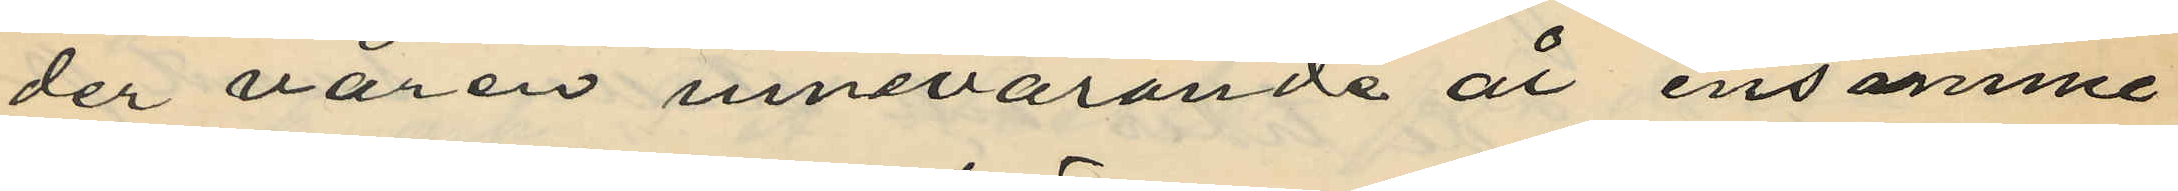der våren innevarande år ensamme
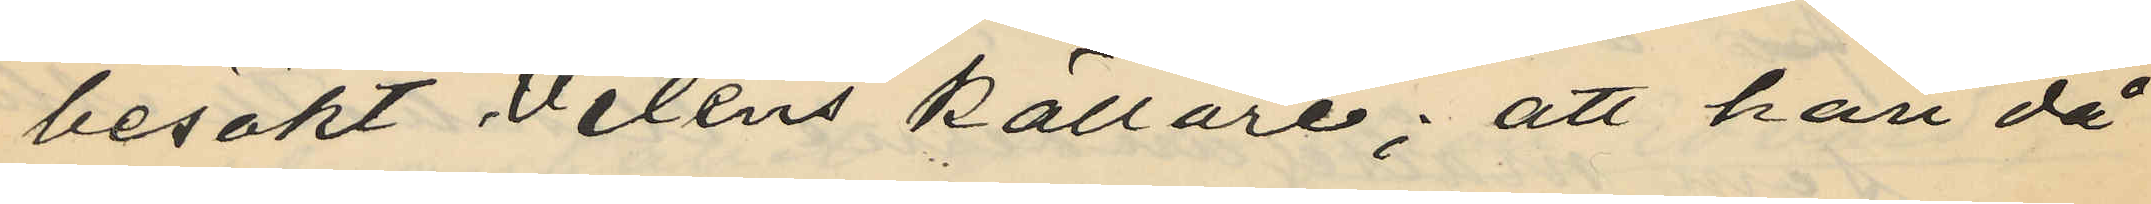besökt Viléns källare; att han då
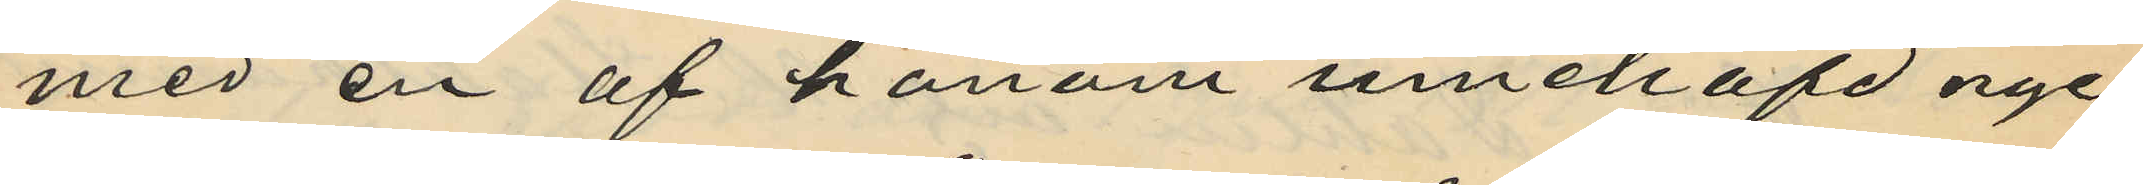med en af honom innehafd nyc¬
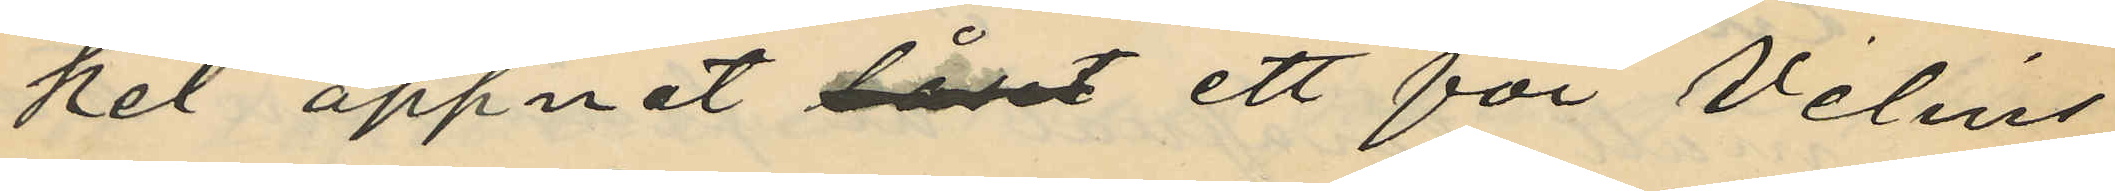kel öppnat låset ett för Viléns
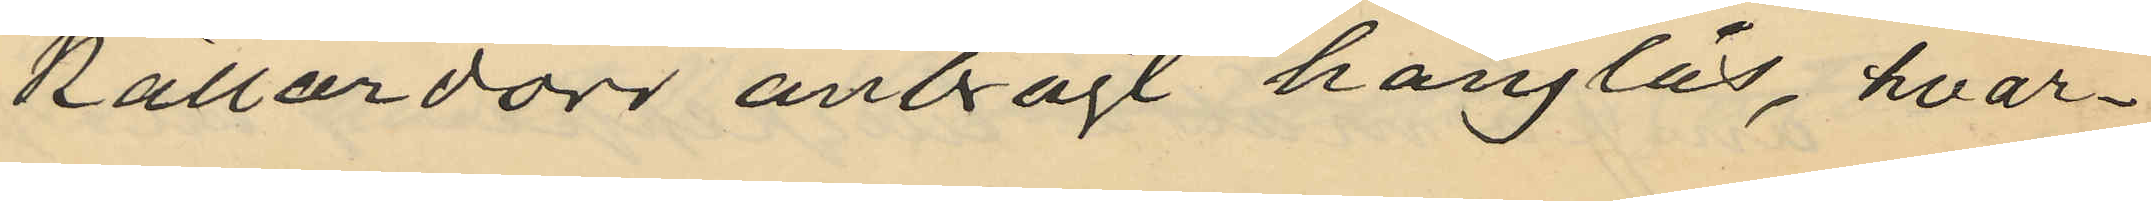källardörr anbragt hänglås, hvar¬
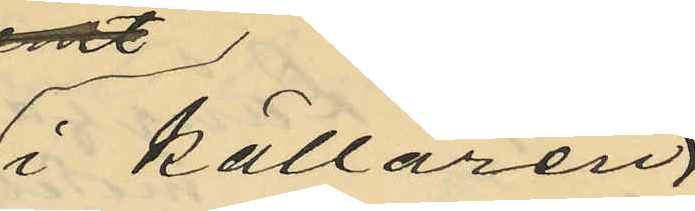 i källaren
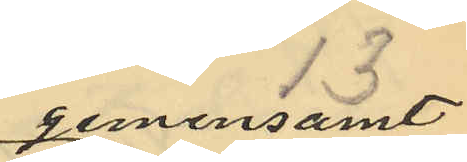gemensamt
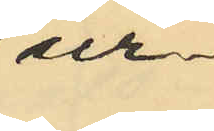ur¬
